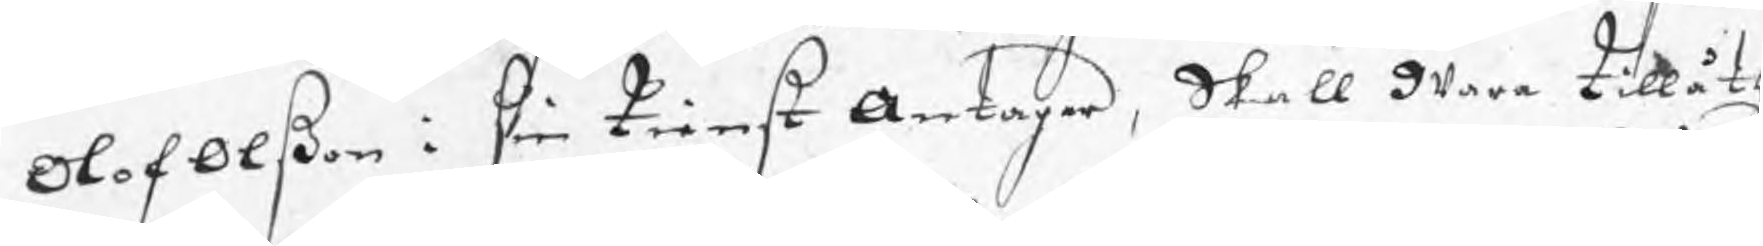Olof Olßon i sin tienst Antager, Skall wara tillåth
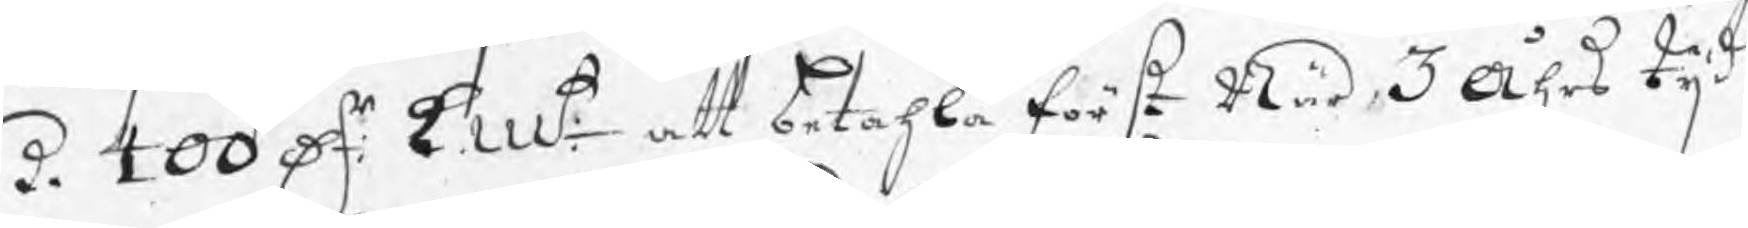de 400 Dr: kmt: att betahla först När 3 Åhrs tijd
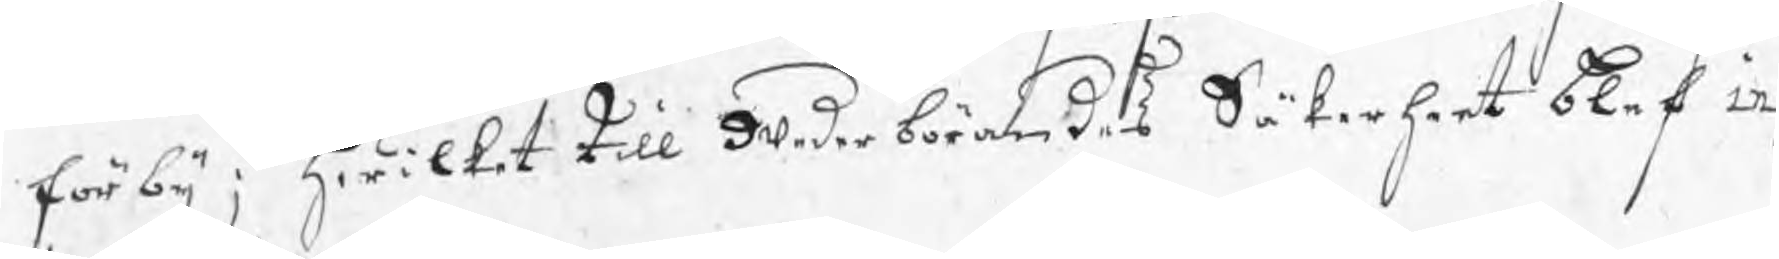förbij; hwilket till wederbörandes Säkerheet blef in
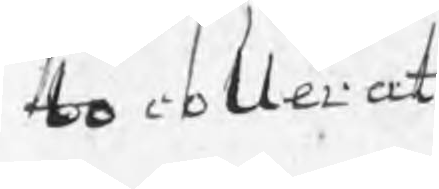tocollerat
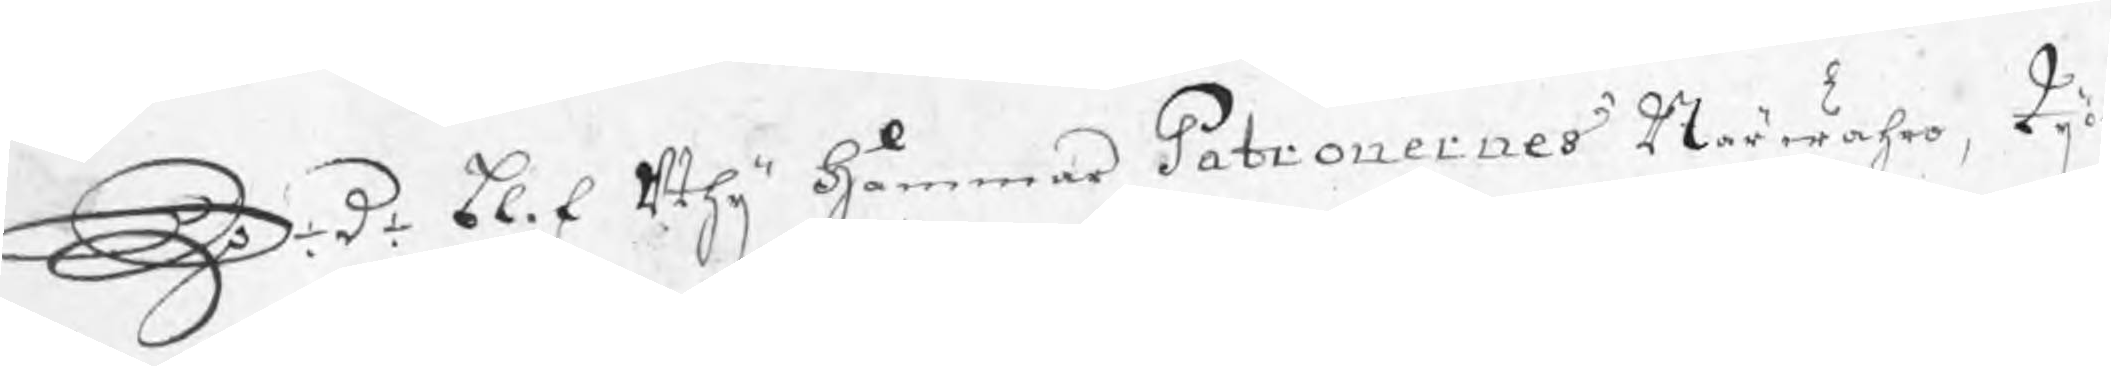S: d: blef uthij Hammar Patronernes Närwahro, tij
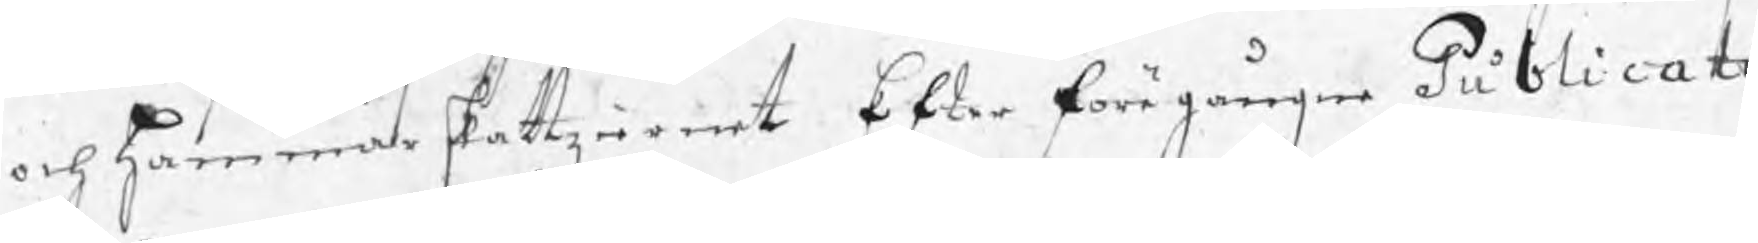och Hammarskattziernet Efter föregången Publicati
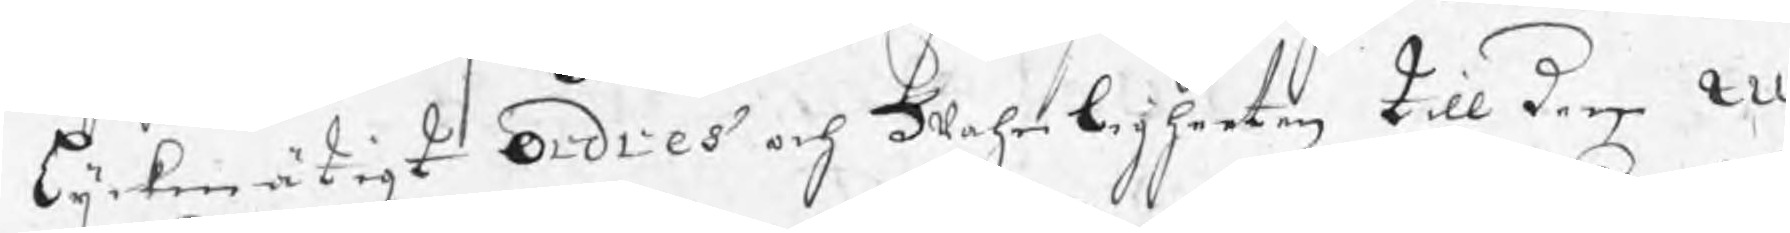lijkmätigt Ordres och Wahnligheeten till dem M
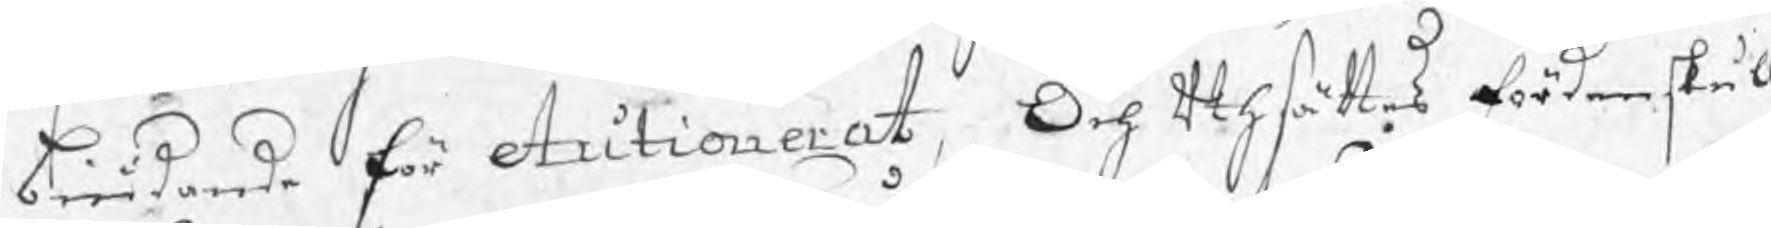biudande för Autionerat, Och uthsättes fördenskull
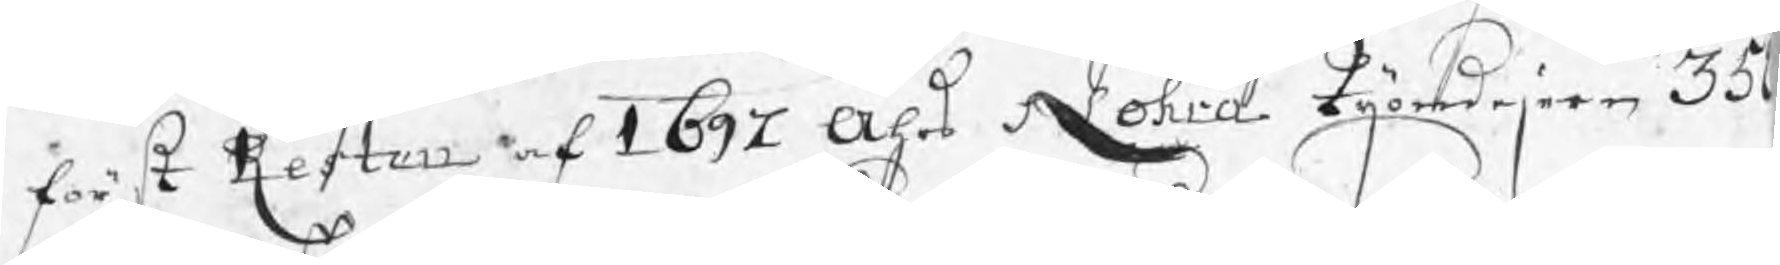först Resten af 1697 Åhrs Nohra tijondejern 35
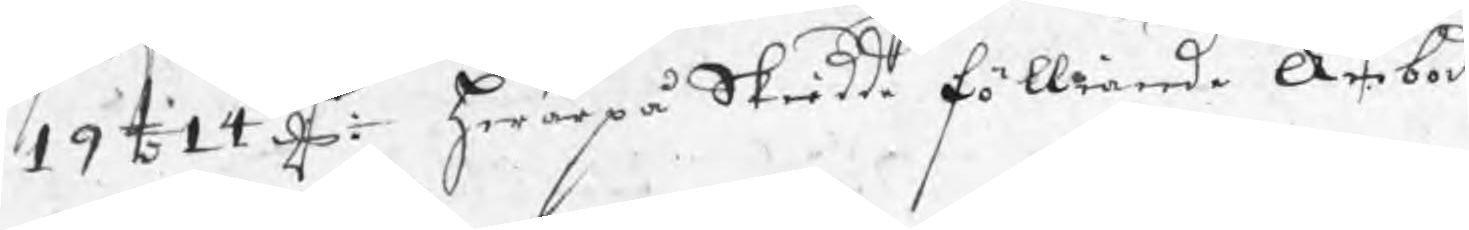19 t 14 dr hwarpå Skiedde fölliande Anbud
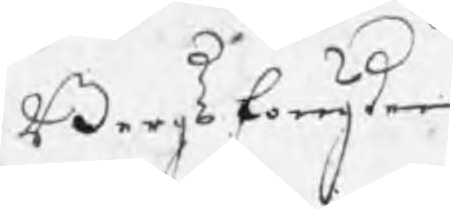Bergsfougden
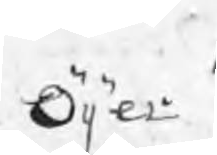Öijer
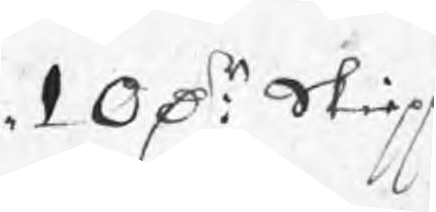10 Dr: Skiepp
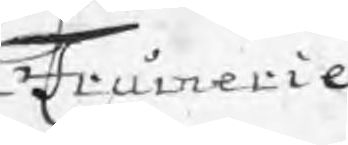Frumerie
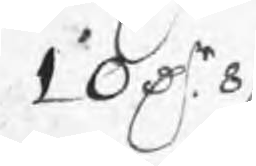10 Dr 8 /:
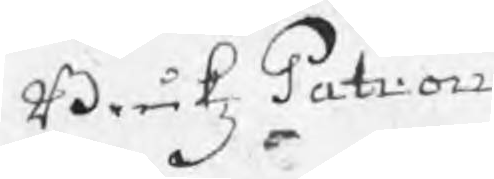BrukzPatron
